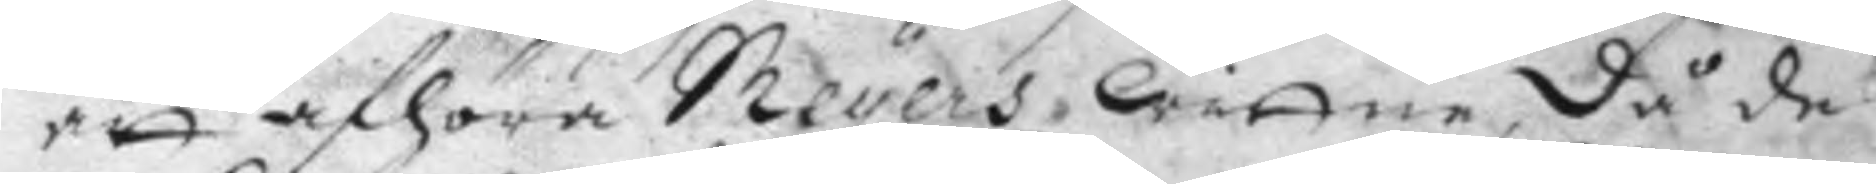att afhöra Meyers, wittne, då de
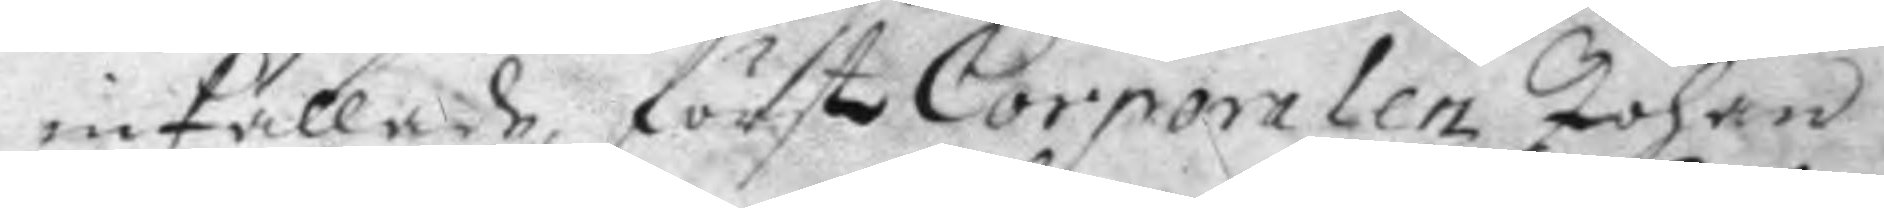inkallade, först Corporalen Johan
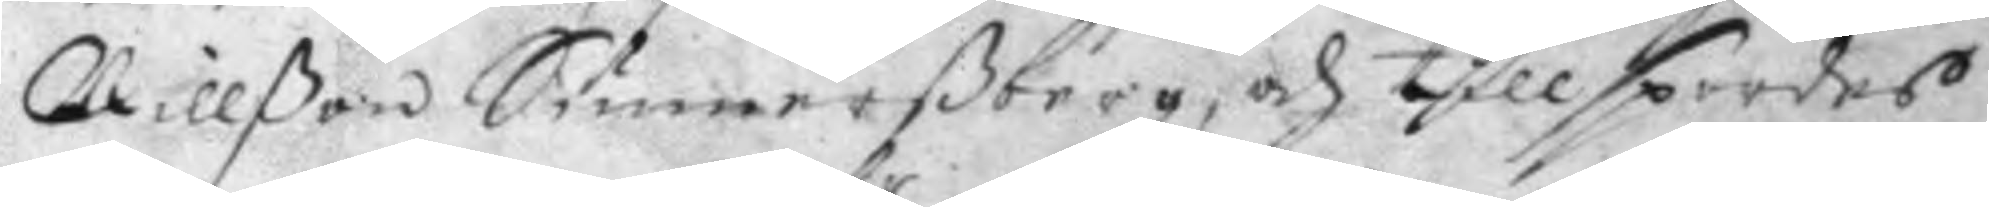Nillßon Sunnerßberg, och tillspordes
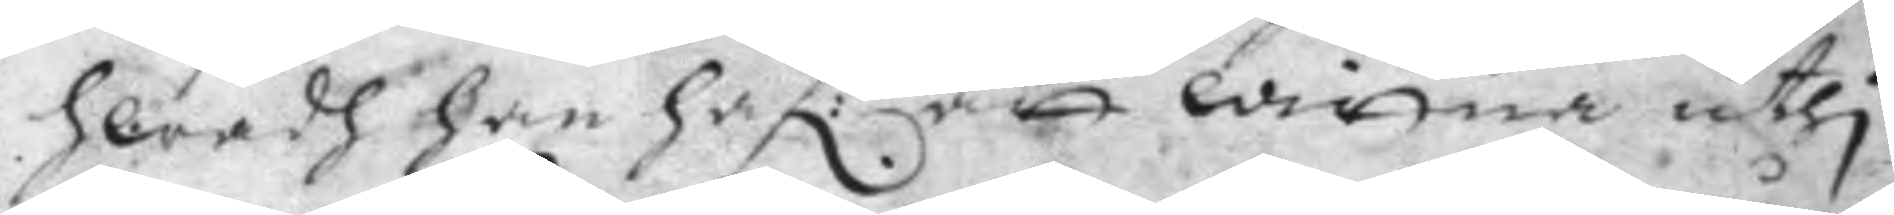hwadh han haf:r att wittna uthi 
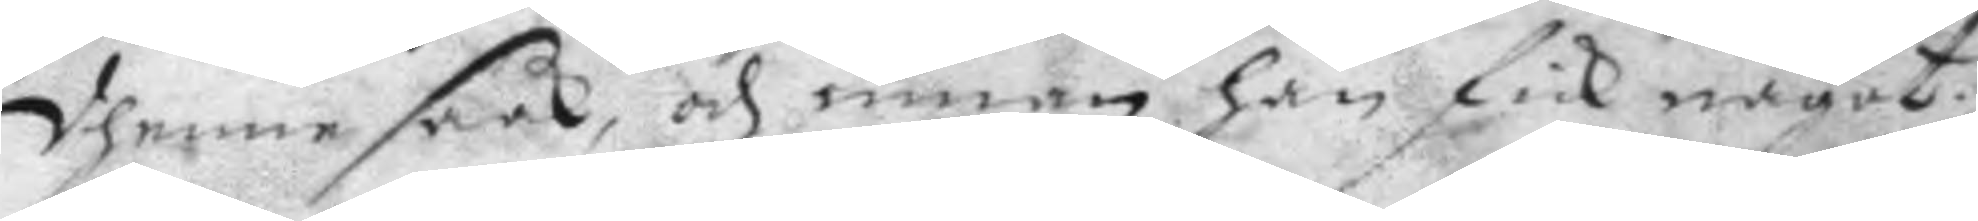dhenne saak, och innan han fick något
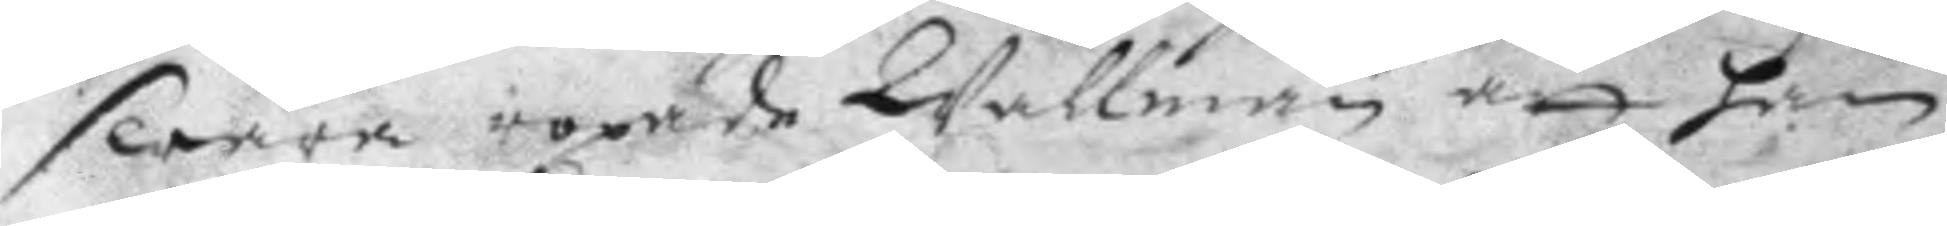swara ropade Wallman att han
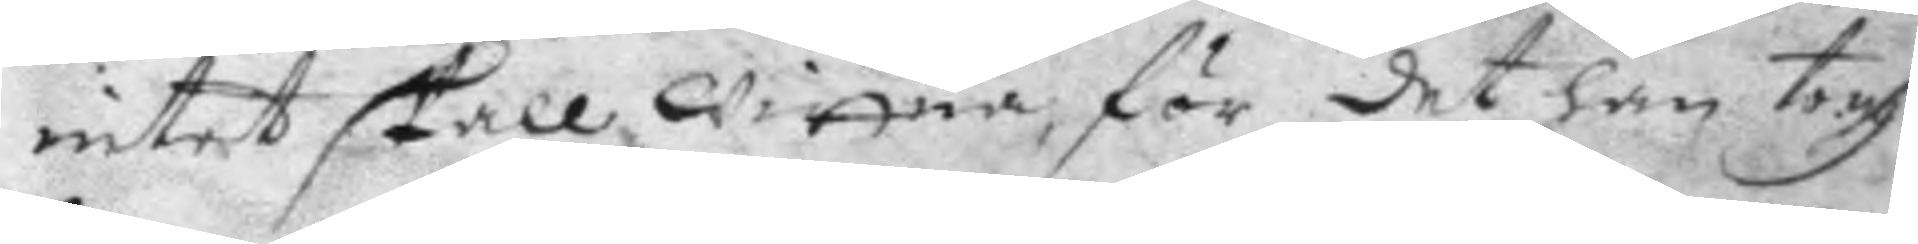intet skall wittna, för det han togh
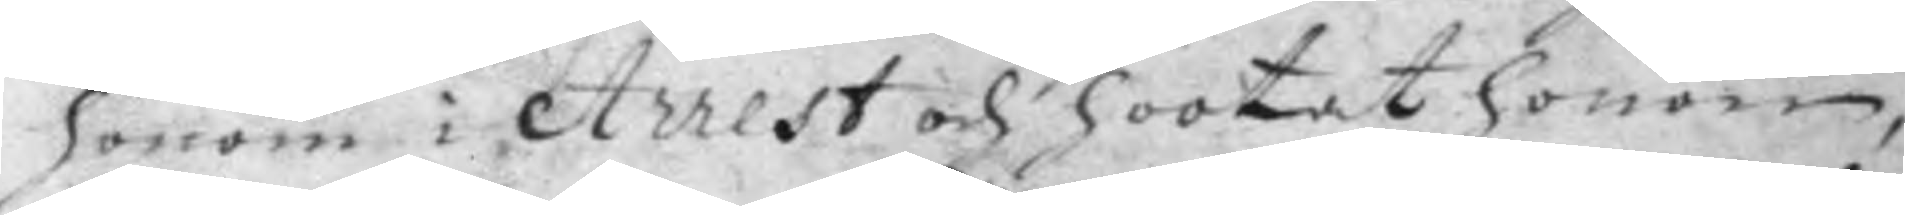honom i Arrest och hootat honom,
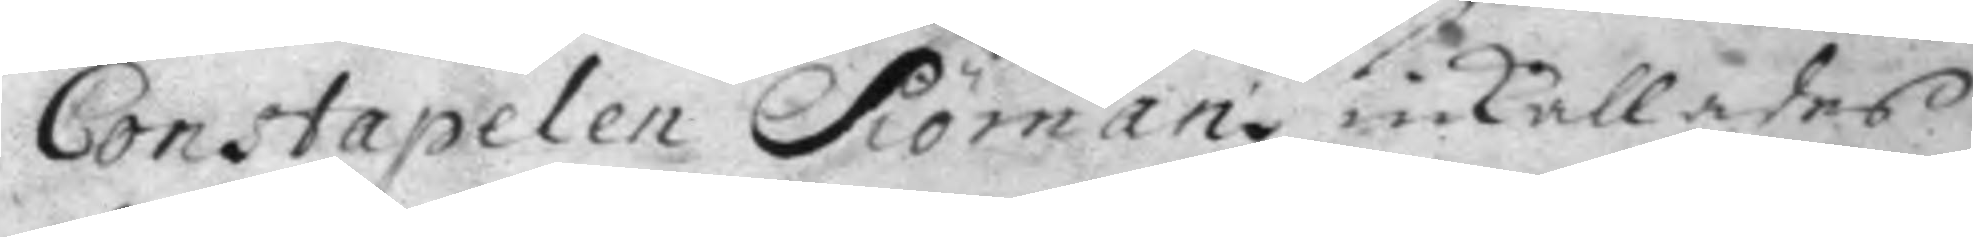Constapelen Siöman inkallades
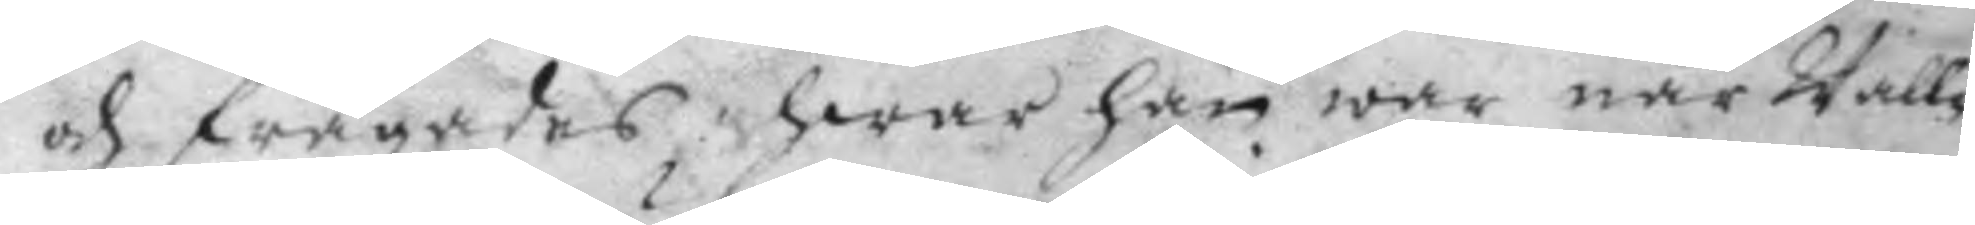och frågades, hwar han war när Wall¬
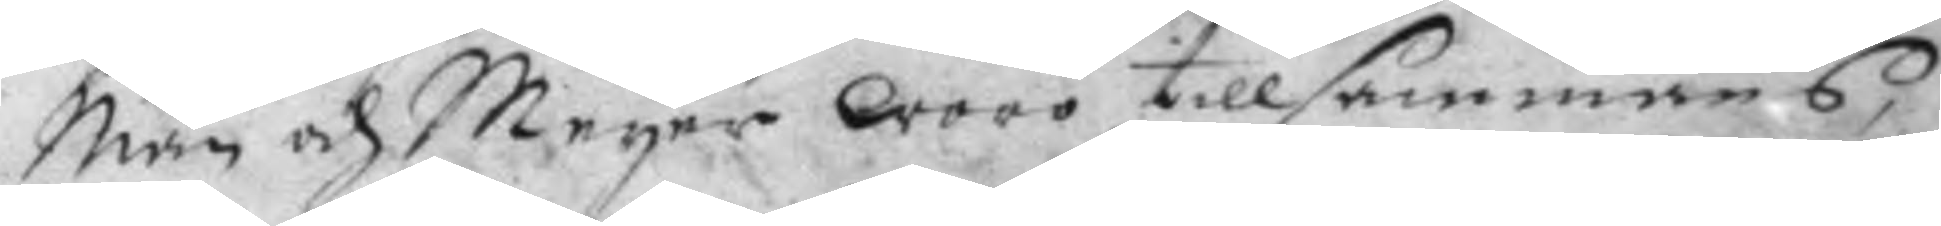Man och Meyer woro tillsammans,
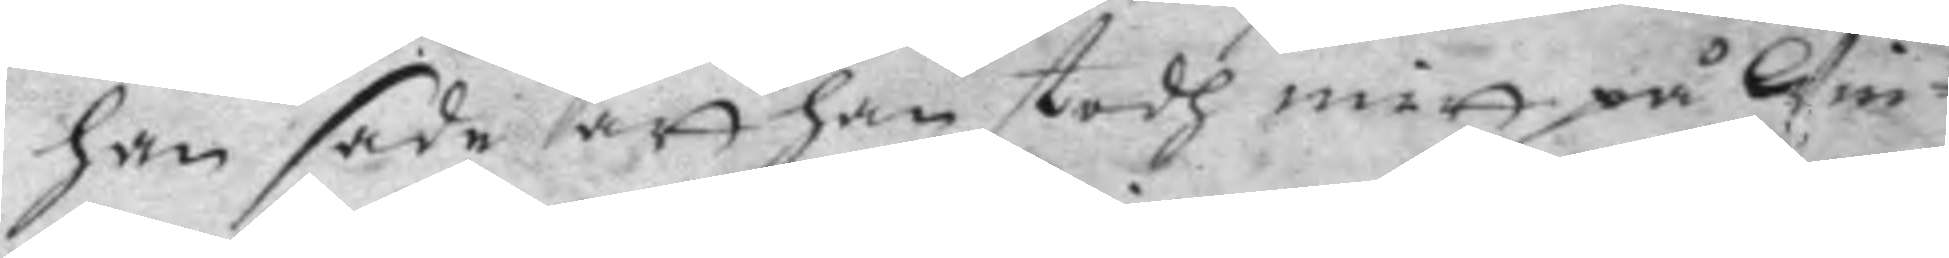han sade att han stodh mitt på Win¬
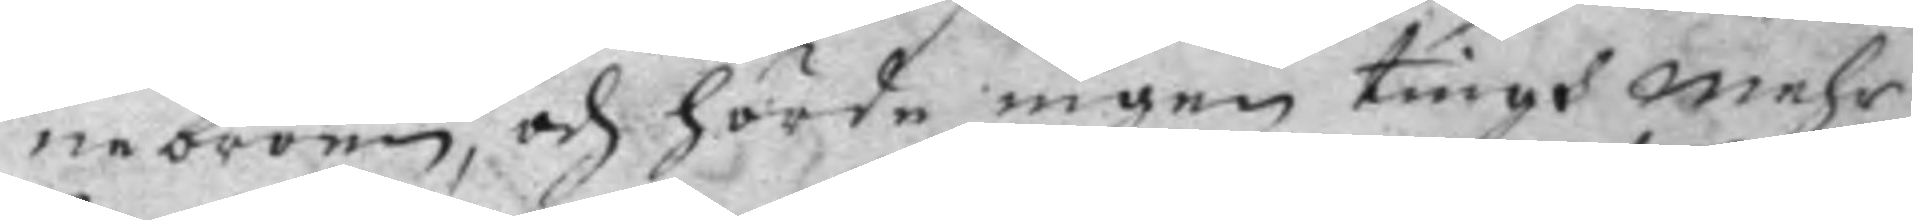nebroen, och hörde ingen tingh mehr
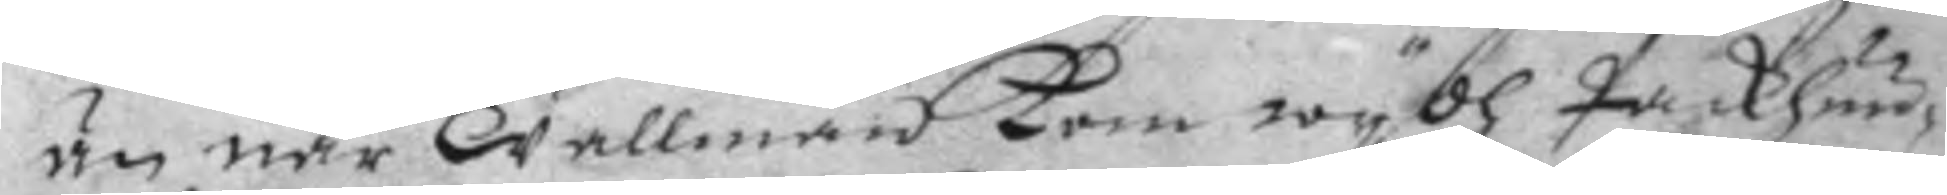än när Wallman kom wydh Packhuu¬
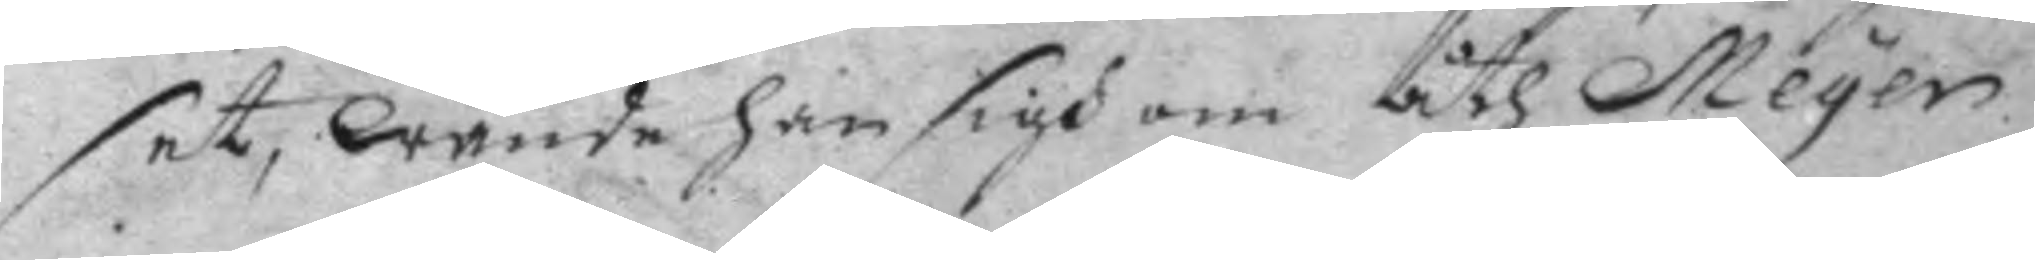set, wände han sigh om åth Meyer.
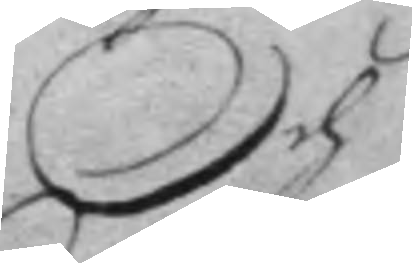Och
